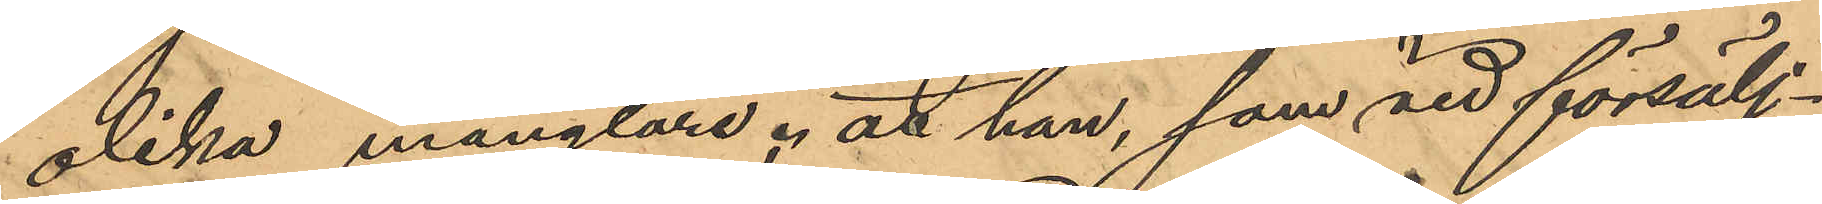olika månglare; att han, som vid försälj¬
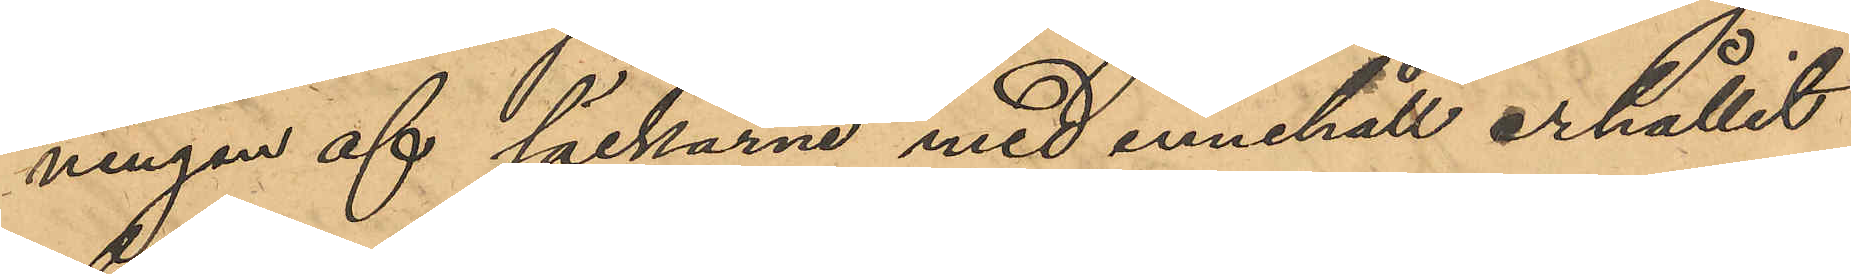ningen af säckarne med innehåll erhållit
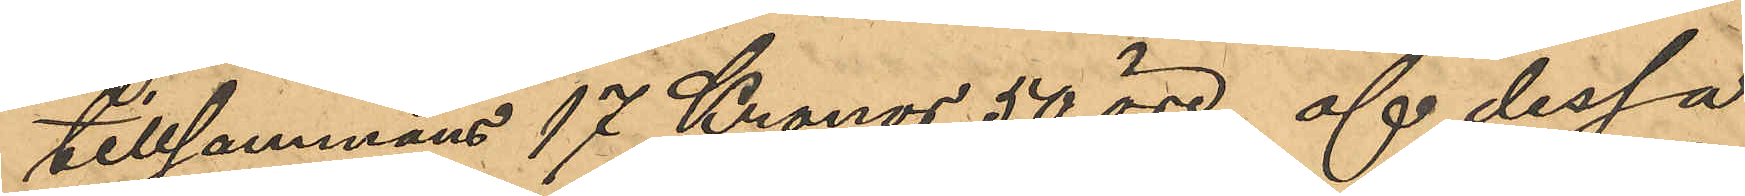tillsammans 17 Kronor 50 öre, af dessa
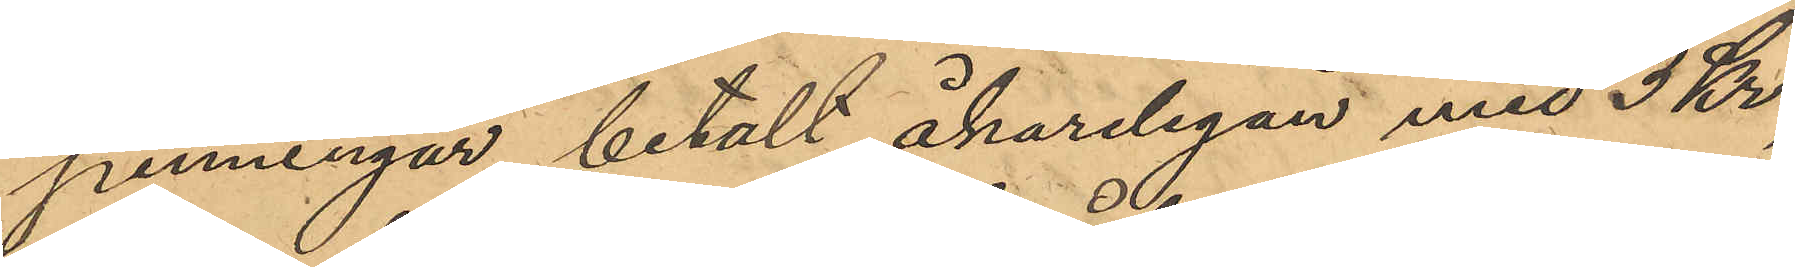penningar betalt åkarelegan med 3 Kr,
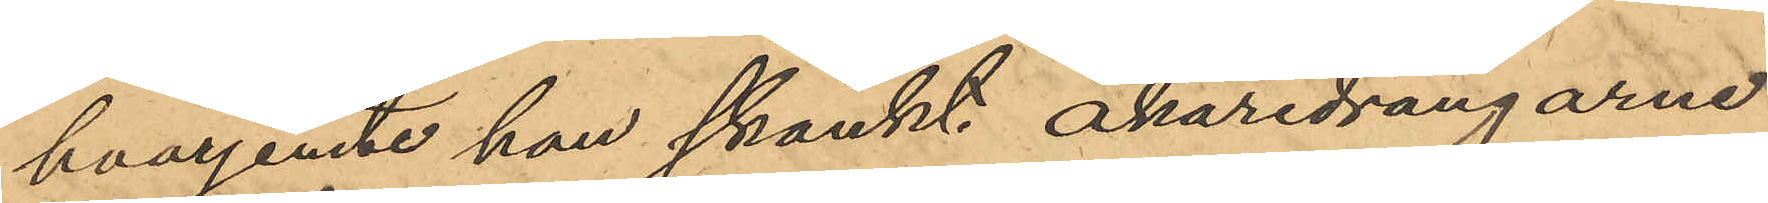hvarjemte han skänkt åkaredrängarne
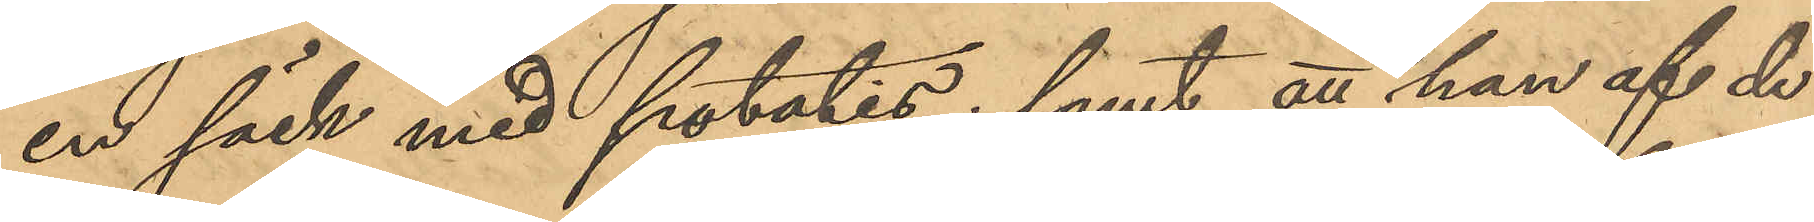en säck med potatis; samt att han af de
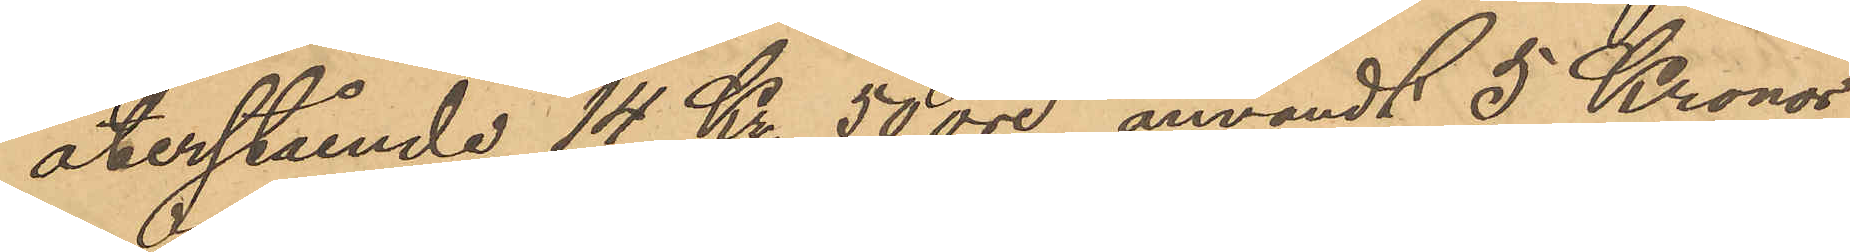årerstående 14 Kr. 50 öre, användt 5 Kronor
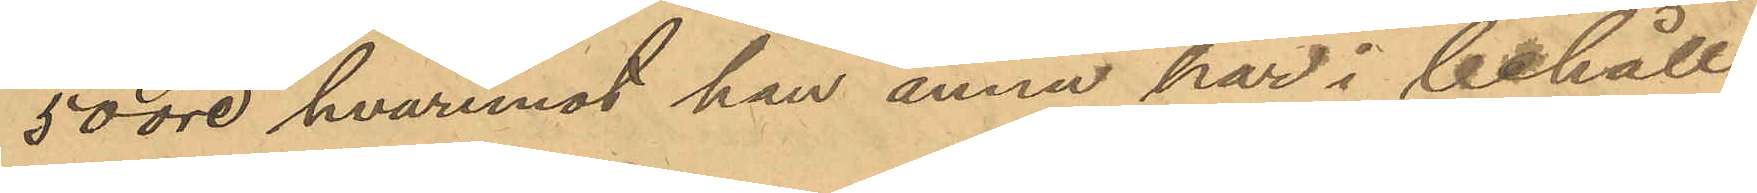50 öre, hvaremot han ännu har i behåll
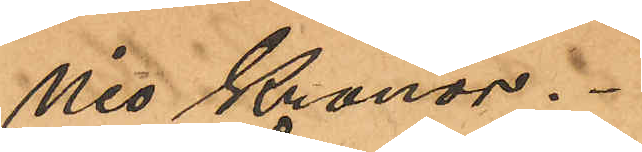nio Kronor.
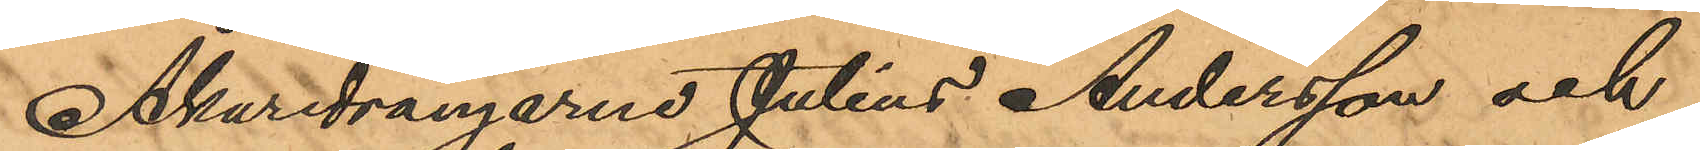Åkaredrängarne Julius Andersson och
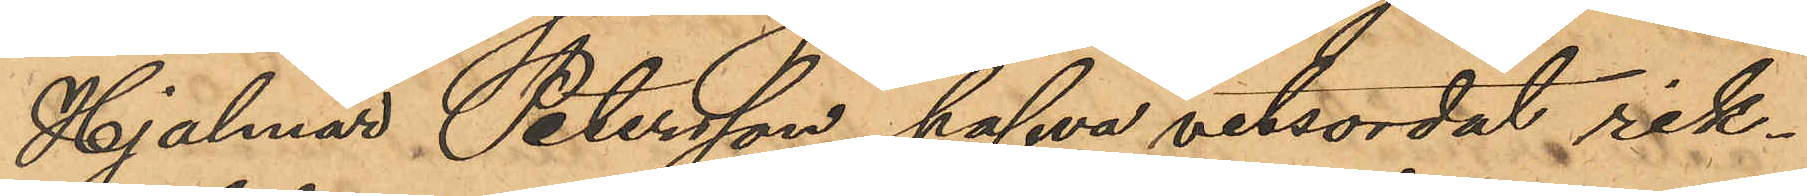Hjalmar Petersson hafva vitsordat rik¬
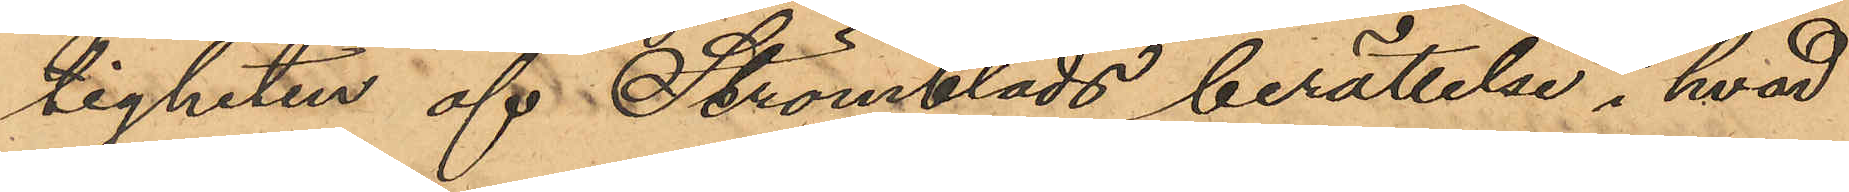tigheten af Strömblads berättelse i hvad
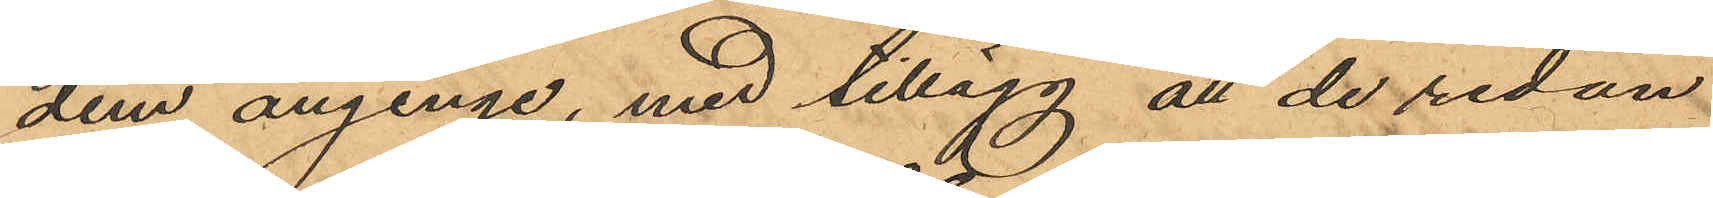dem anginge, med tillägg att de redan
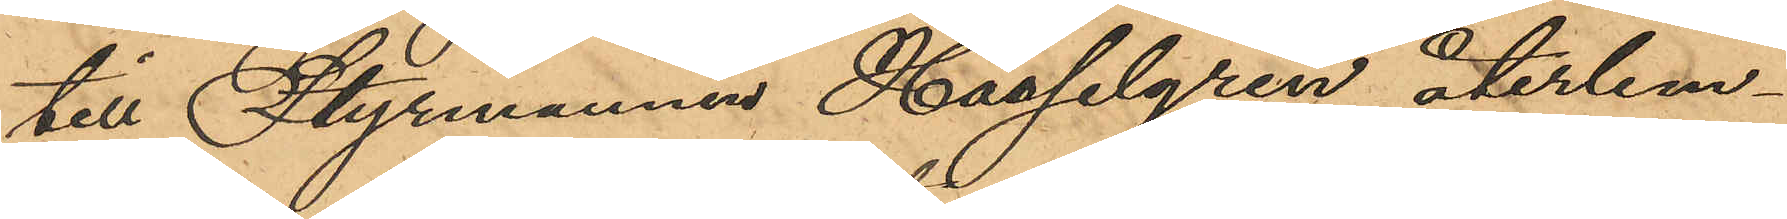till Styrmannen Hasselgren återlem¬
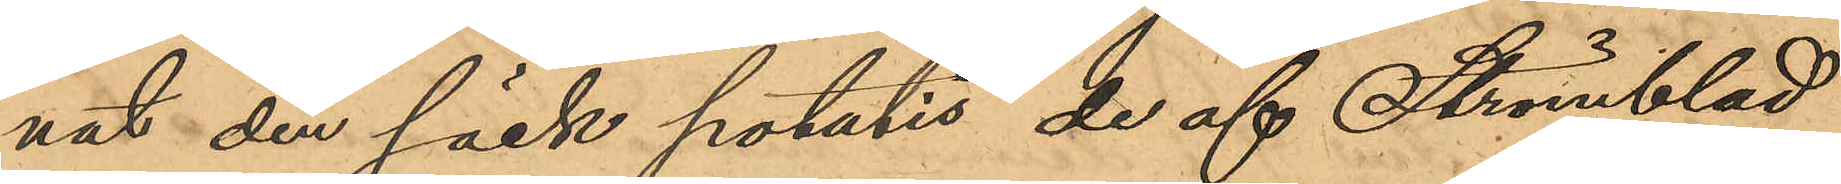nat den säck potatis, de af Strömblad
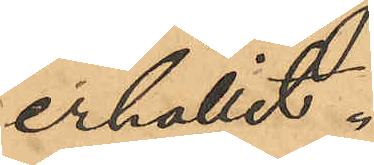erhållit.
